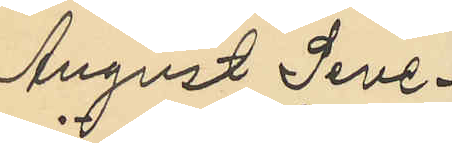August Seve¬
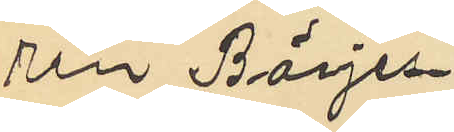rin Börjes¬
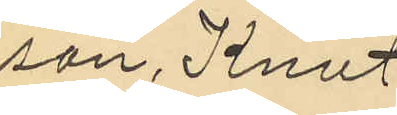son, Knut
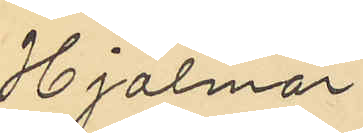Hjalmar
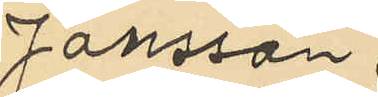Jonsson.
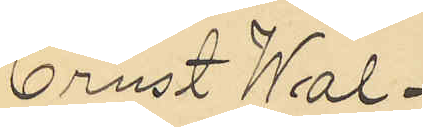Ernst Wal¬
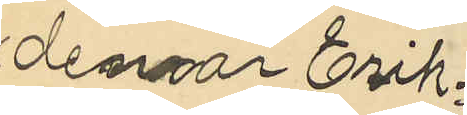demar Erik¬
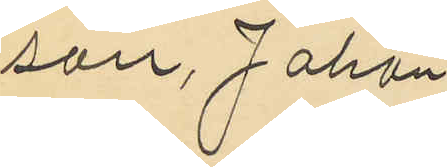sson, Johan
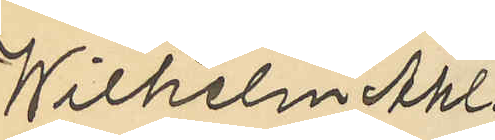Wilhelm Ahl¬
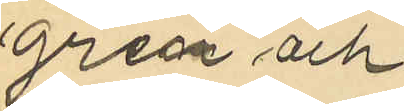gren och
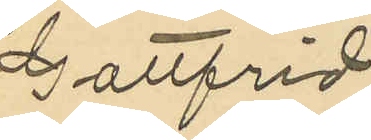Gottfrid
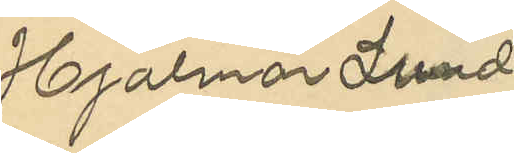Hjalmar Lund¬
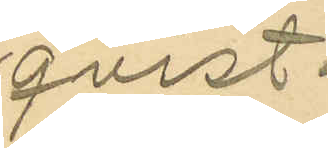qvist.
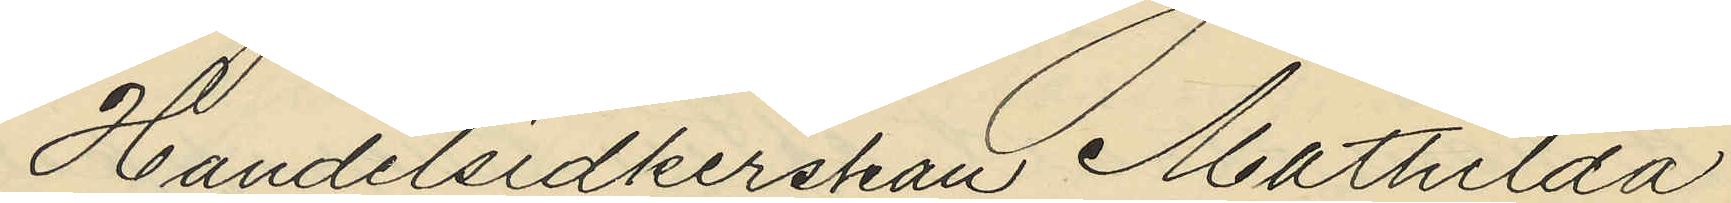Handelsidkerskan Mathilda
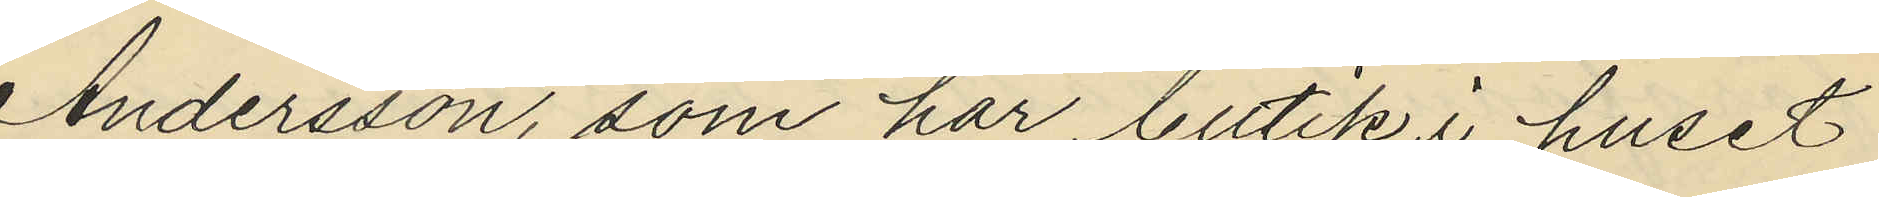Andersson, som har butik i huset
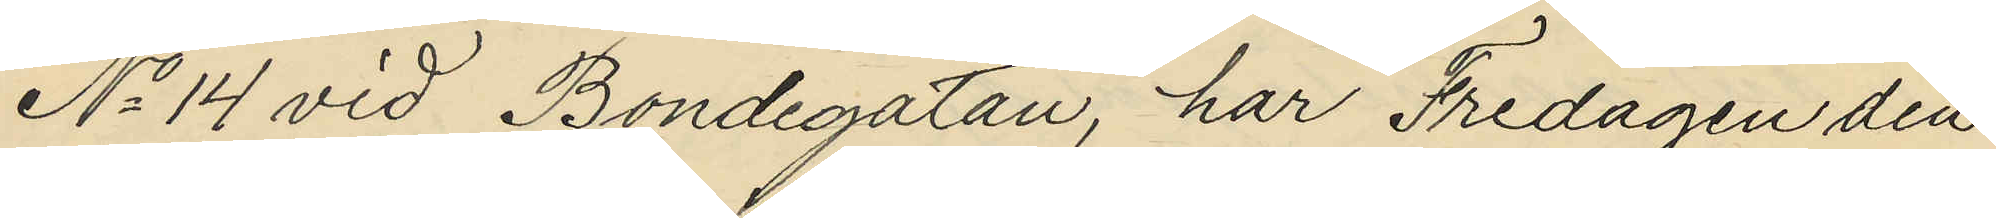No 14 vid Bondegatan, har Fredagen den
